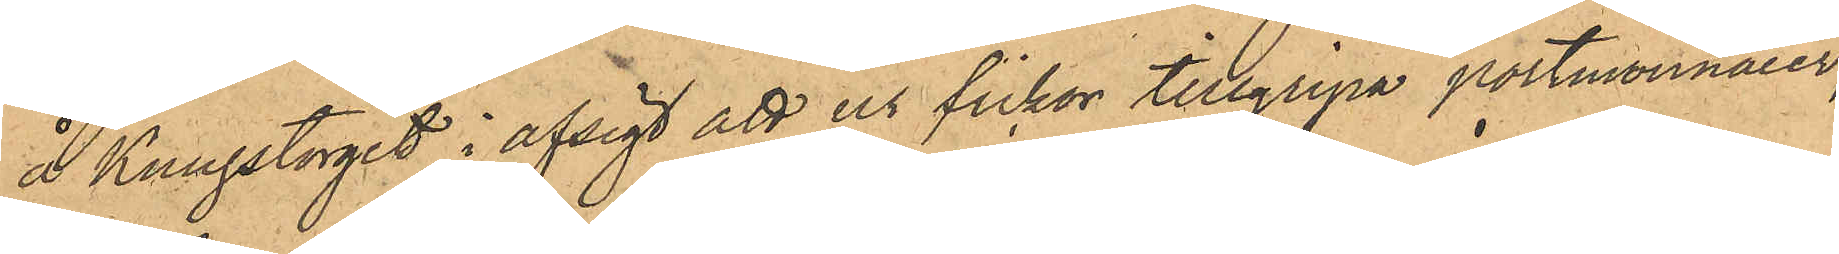å Kungstorget i afsigt att ur fickor tillgripa portmonnaier;
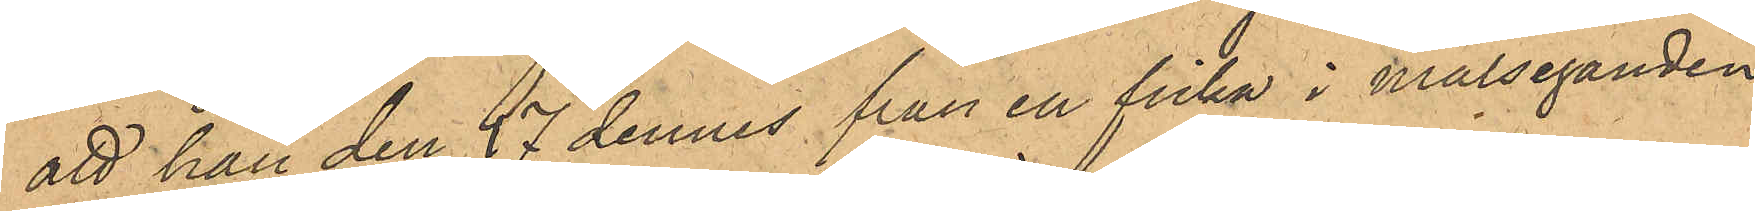att han den 27 dennes från en ficka i Målseganden
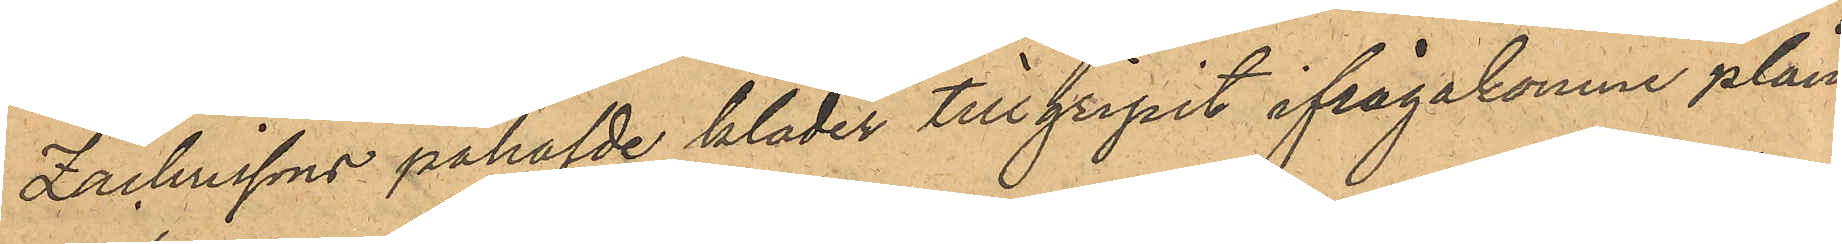Zachrissons påhafvde kläder tillgripit ifrågakomne plån¬
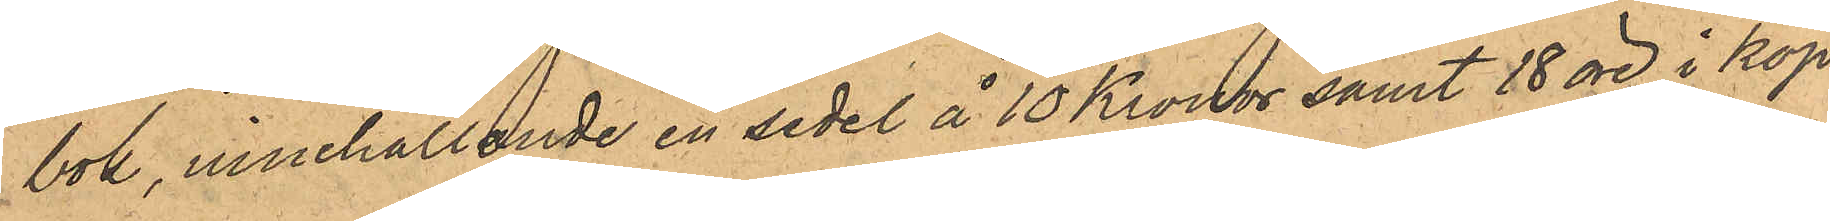bok, innehållande en sedel å 10 Kronor samt 18 öre i kop¬
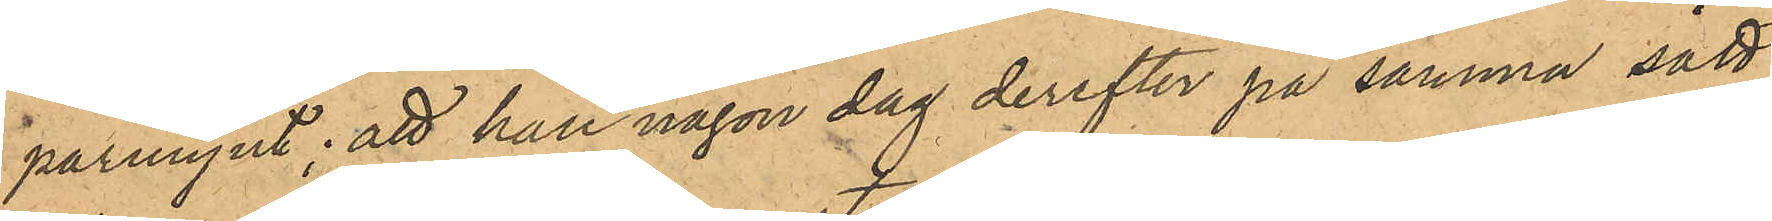parmynt; att han någon dag derefter på samma sätt
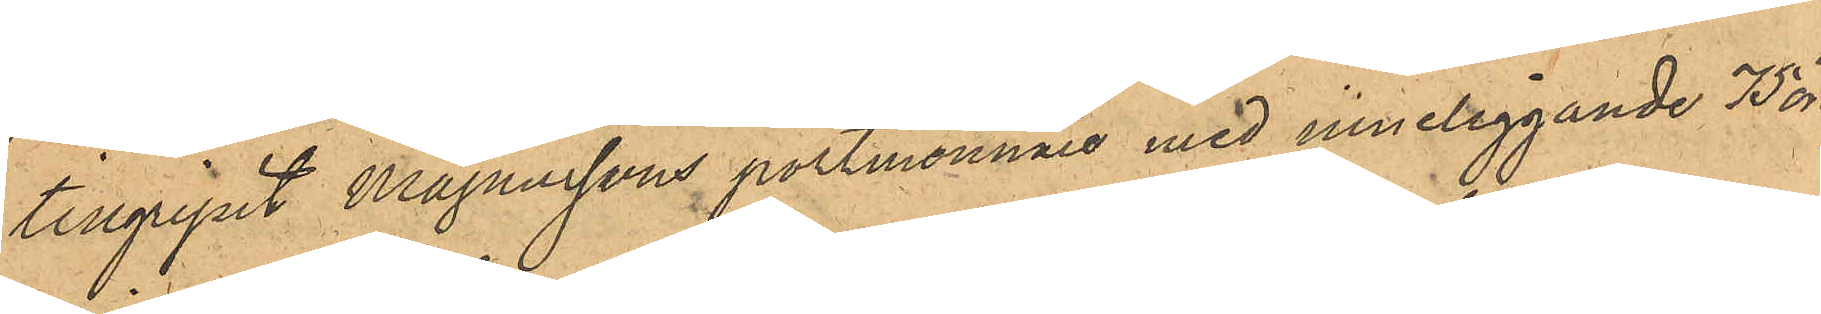tillgripit Magnussons portmonnaie med inneliggande 75 öre
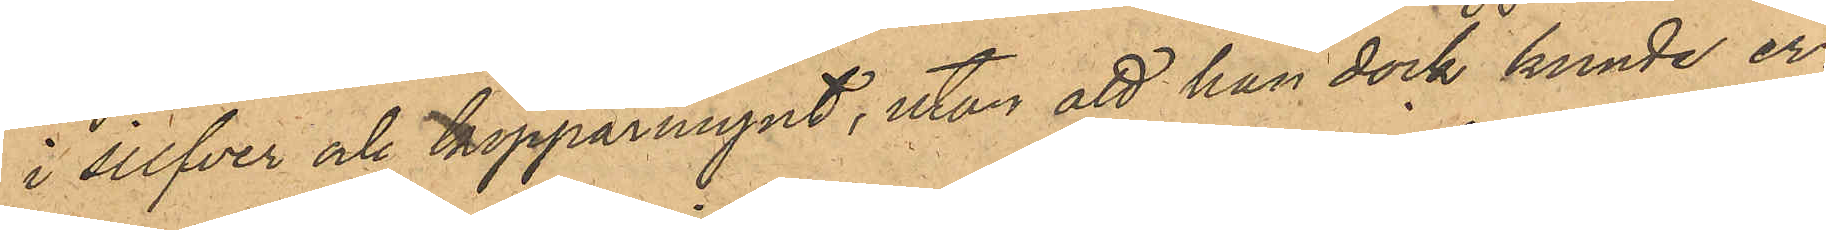i silfver och kopparmynt, utan att han dock kunde er¬
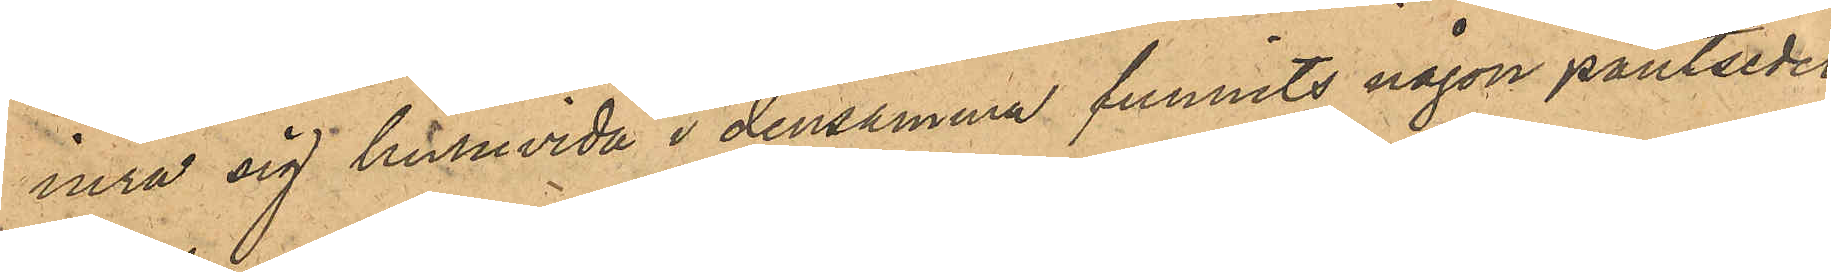inra sig huruvida i densamma funnits någon pantsedel;
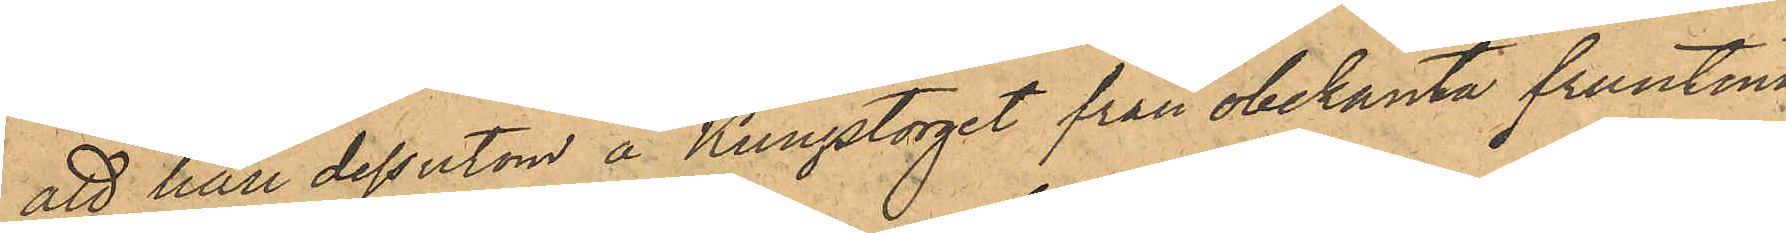att han dessutom å Kungstorget från obekanta fruntim¬
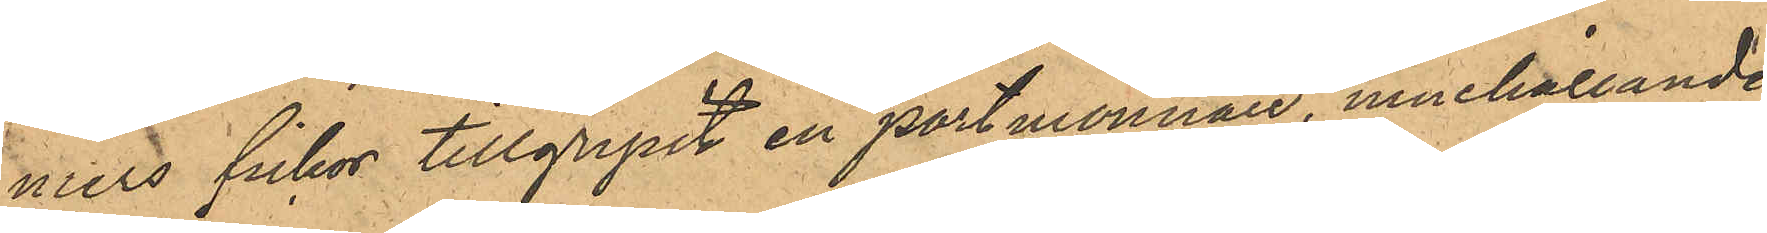mers fickor tillgripit en portmonnaie, innehållande
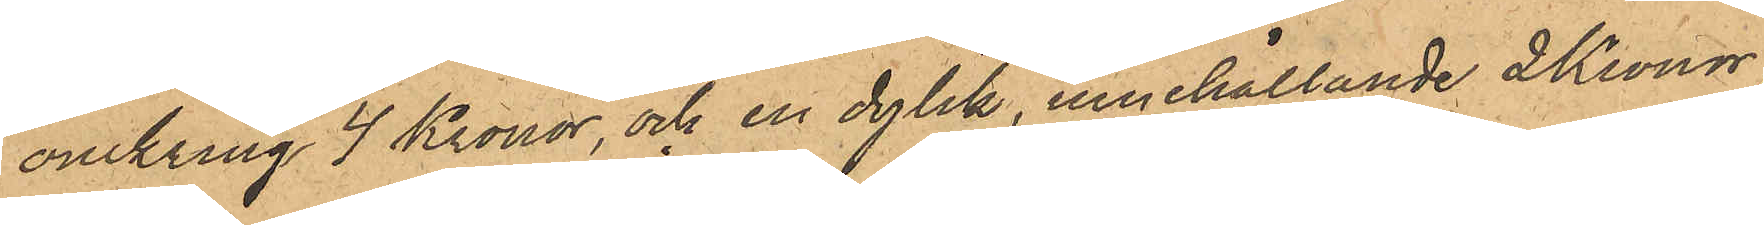omkring 4 Kronor, och en dylik, innehållande 2 Kronor;
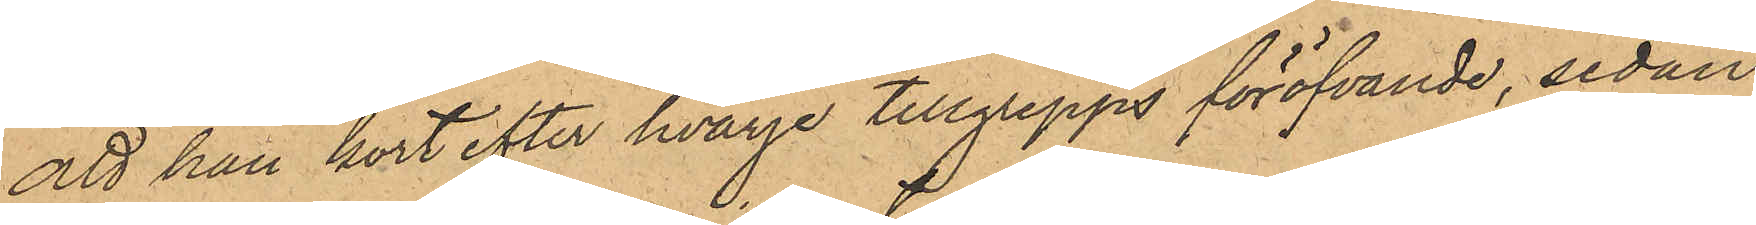att han kort efter hvarje tillgrepps föröfvande, sedan
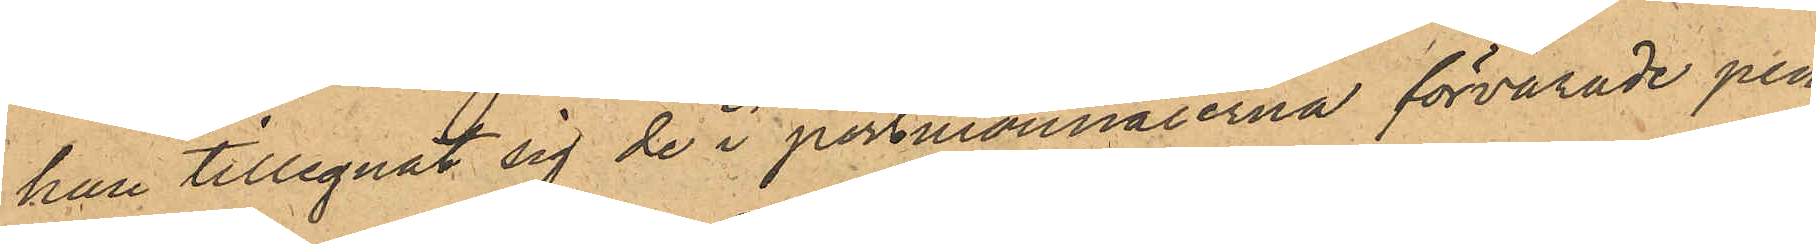han tillegnat sig de i portmonnaierna förvarade pen¬
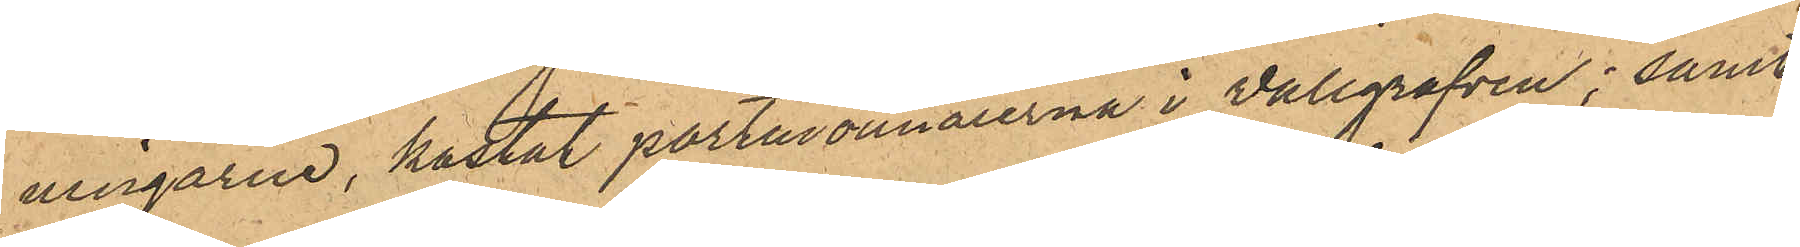ningarne, kastat portmonnaierna i Vallgrafven; samt
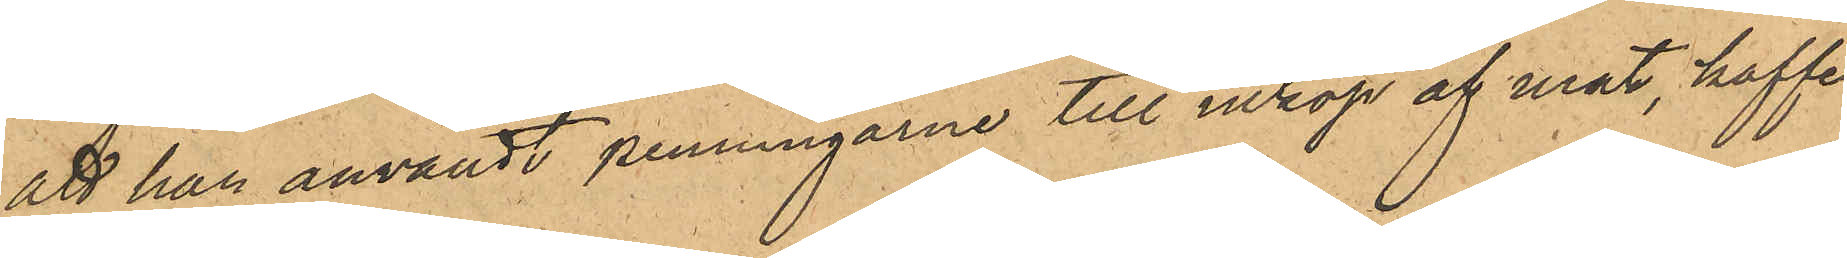att han användt penningarne till inköp af mat, kaffe
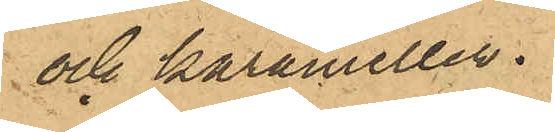och karameller.
